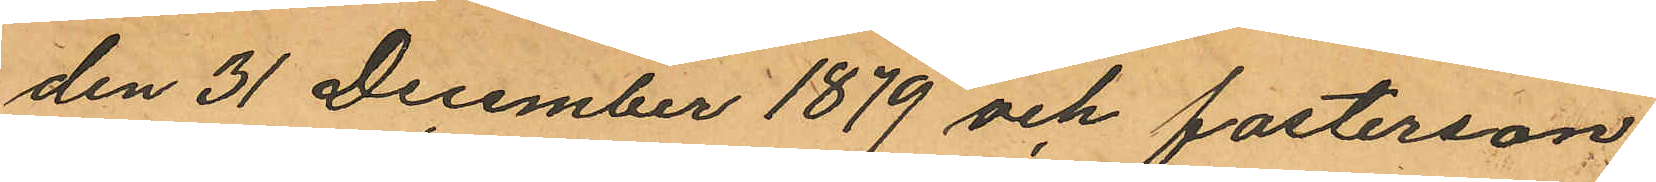den 31 December 1879 och fosterson
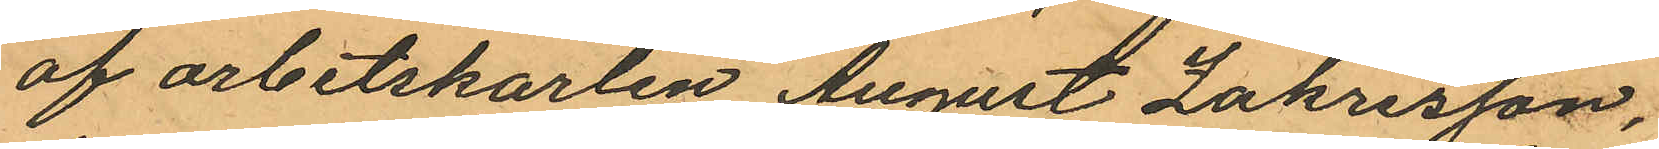af arbetskarlen August Zakrisson,
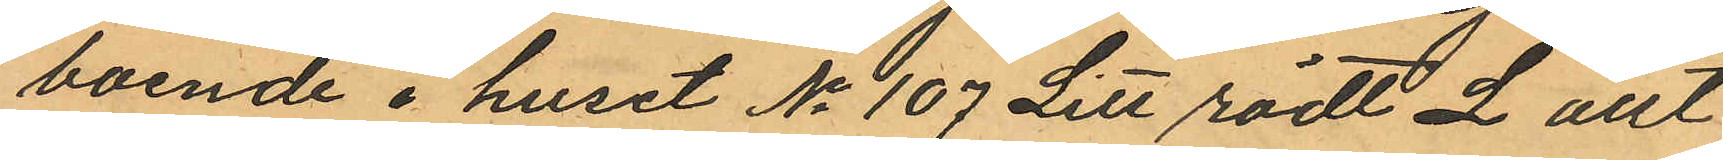boende i huset No 107 Litt rödt L allt
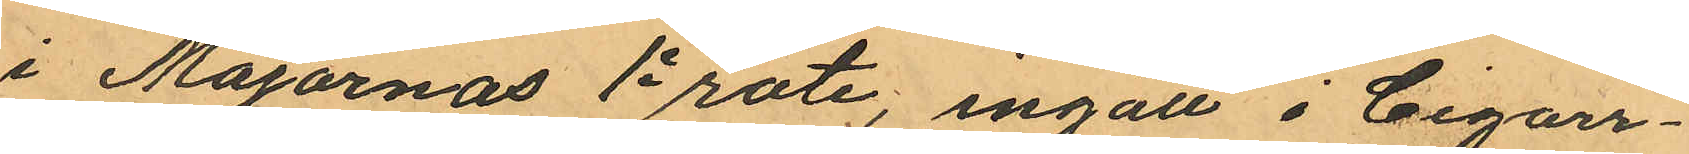i Majornas 1e rote, ingått i Cigarr¬
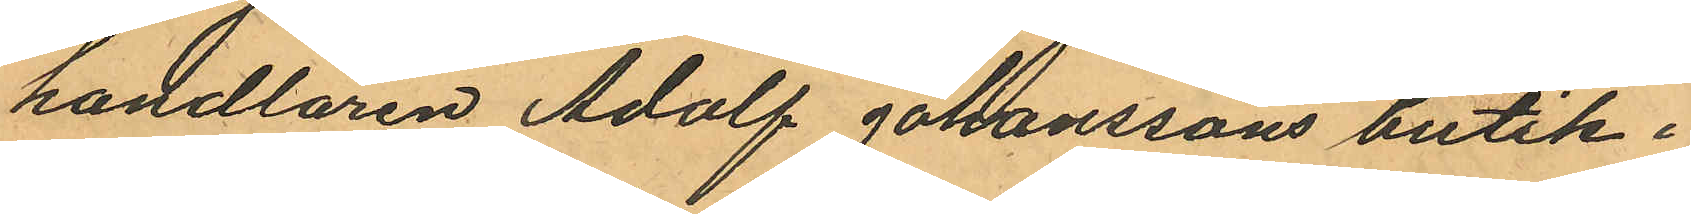handlaren Adolf Johanssons butik i
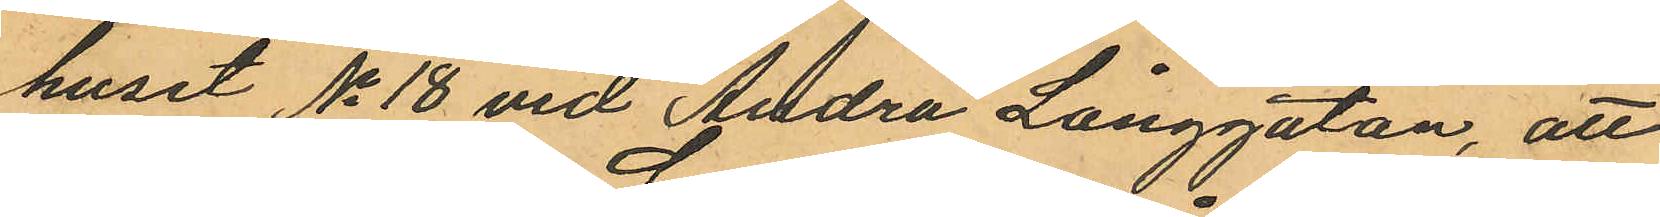huset No 18 vid Andra Långgatan, att
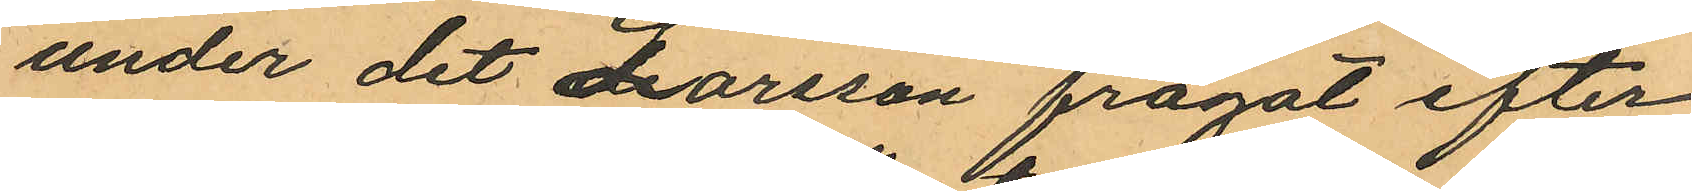under det Larsson frågat efter
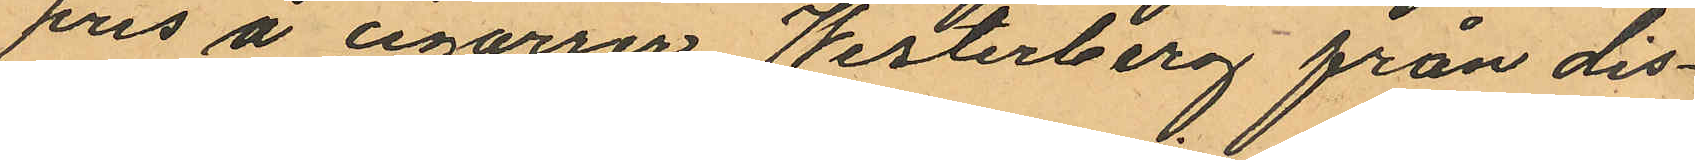pris å cigarrer Westerberg från dis¬
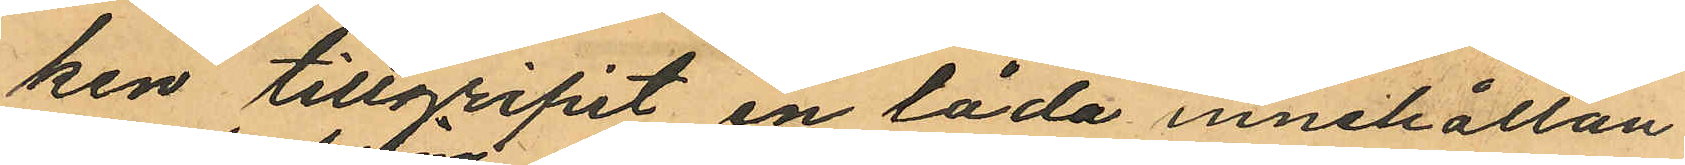ken tillgripit en låda innehållan¬
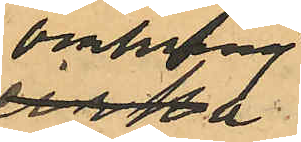omkring
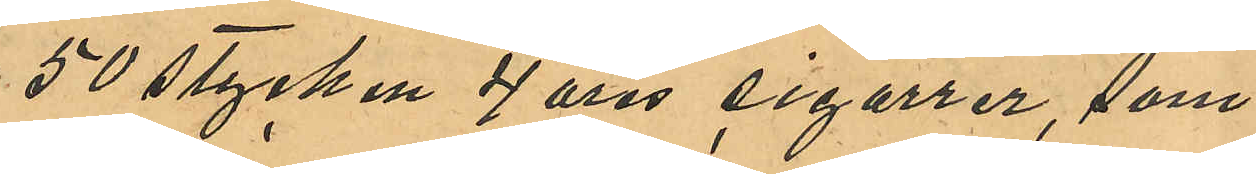50 stycken 4 öres cigarrer, som
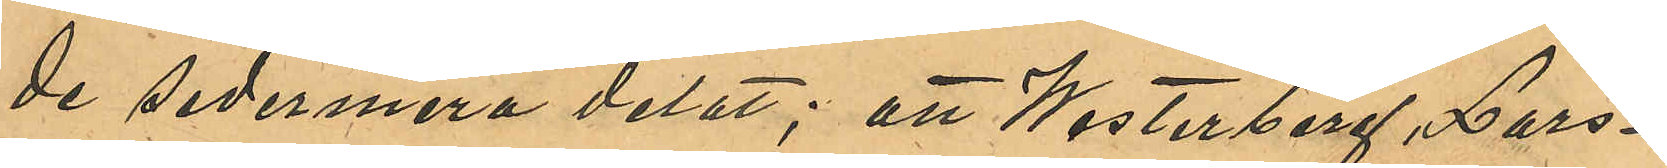de sedermera delat; att Westerberg, Lars¬
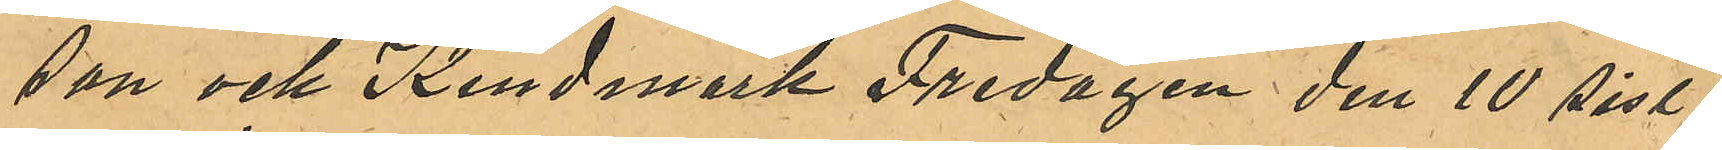son och Kindmark Fredagen den 10 sist¬
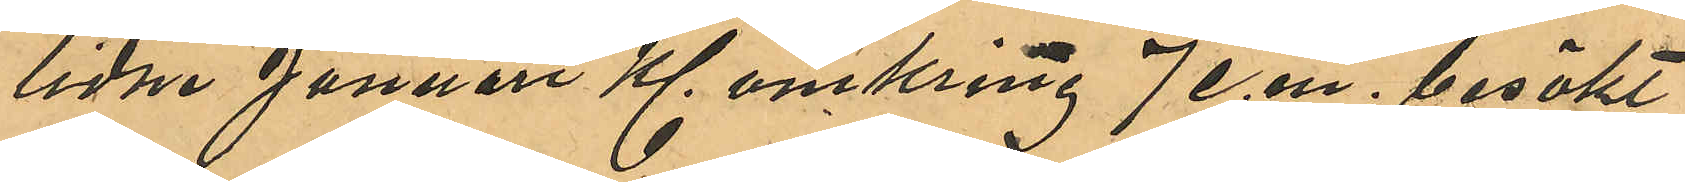lidne Januari Kl. omkring 7 e.m. besökt
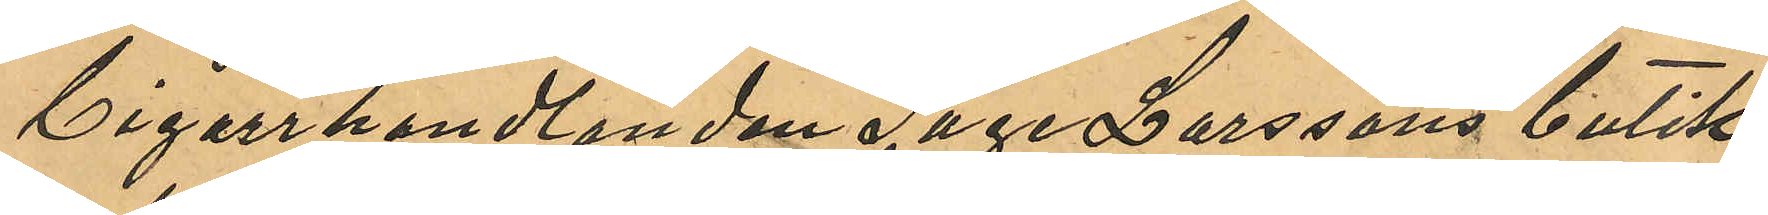Cigarrhandlanden Tage Larssons butik
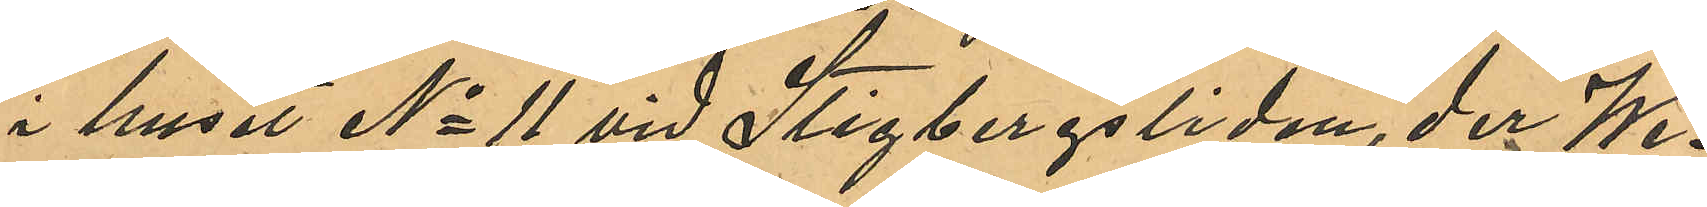i huset No 11 vid Stigbergsliden, der We¬
